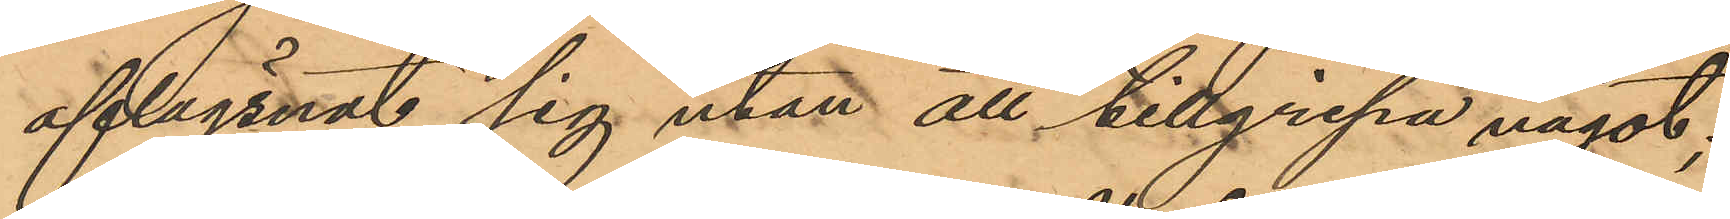aflägsnat sig utan att tillgripa något;
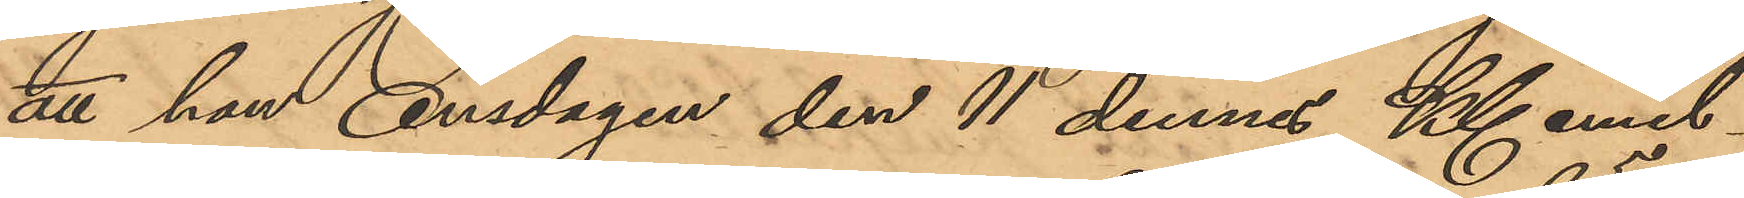att han Onsdagen den 11 dennes Kl emel¬
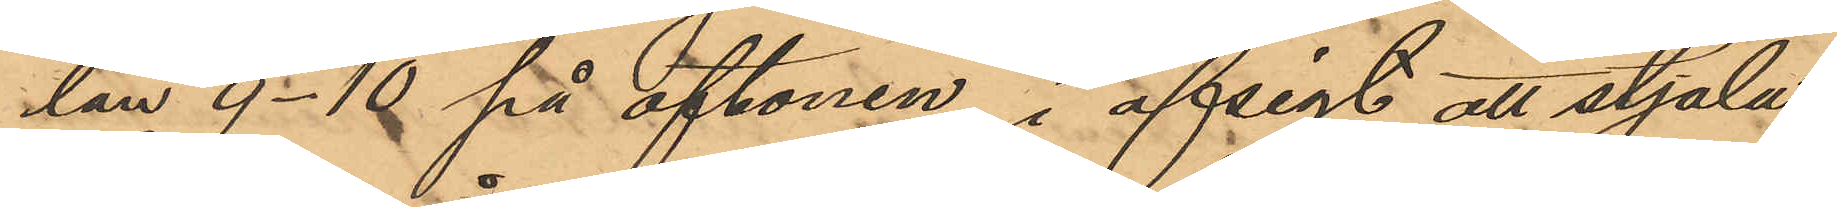tan 9 - 10 på aftonen, i afsigt att stjäla
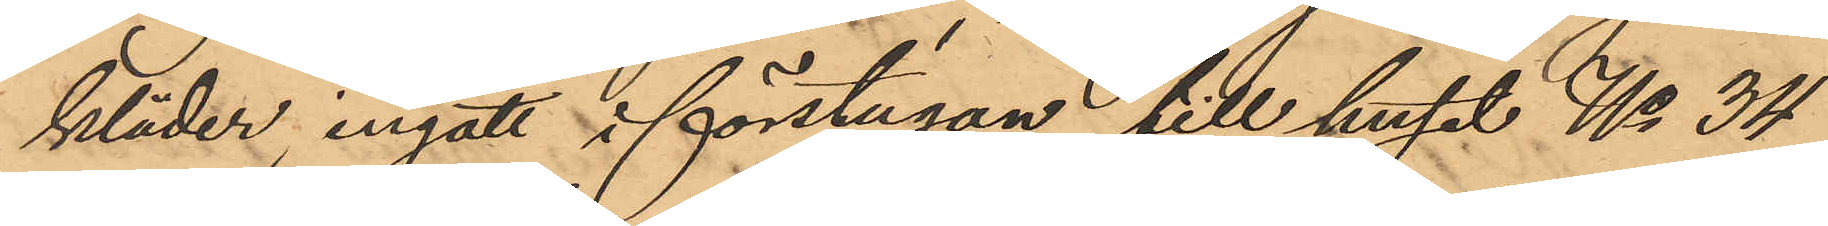kläder, ingått i förstugan till huset No 34
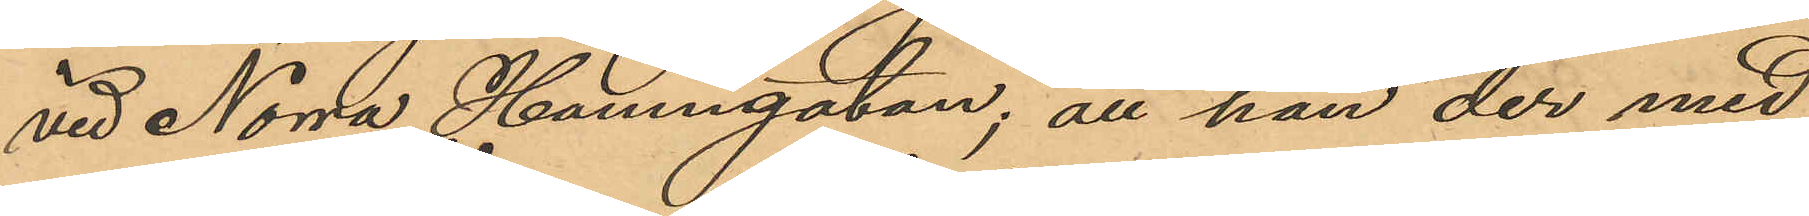vid Norra Hamngatan; att han der med
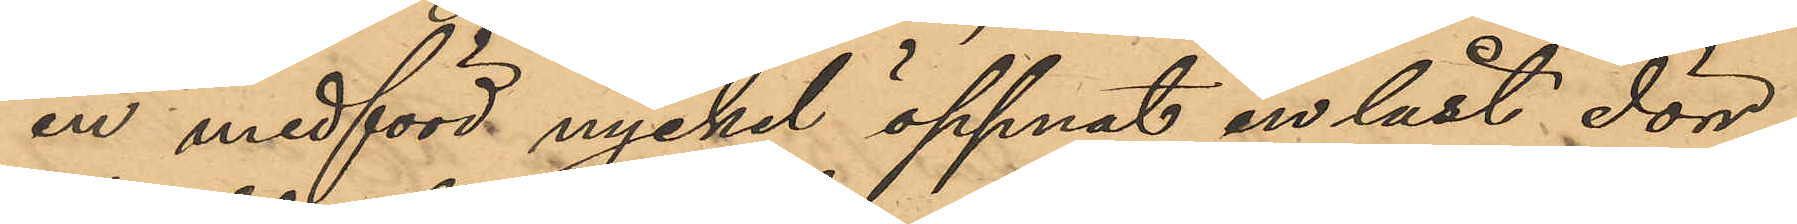en medförd nyckel öppnat en låst dörr,
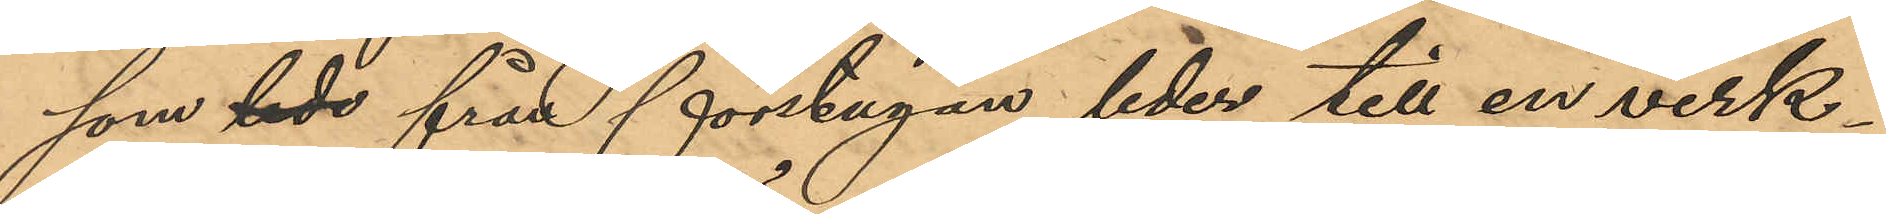som lade från förstugan leder till en verk¬
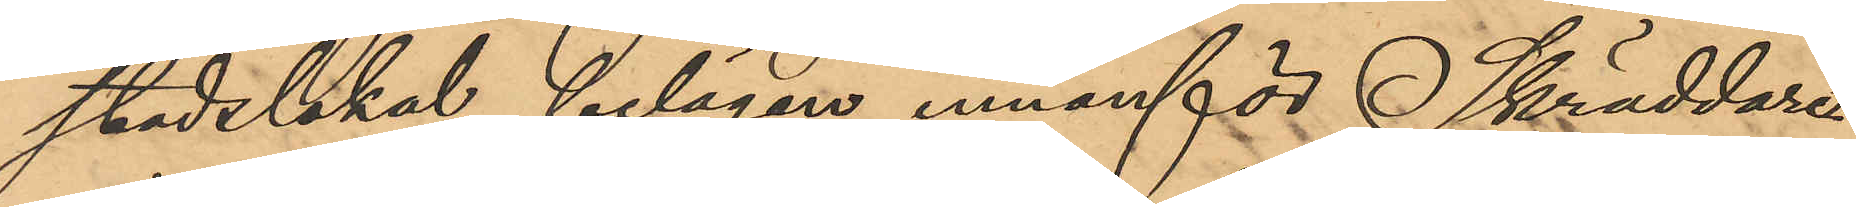stadslokal belägen innanför Skräddare¬
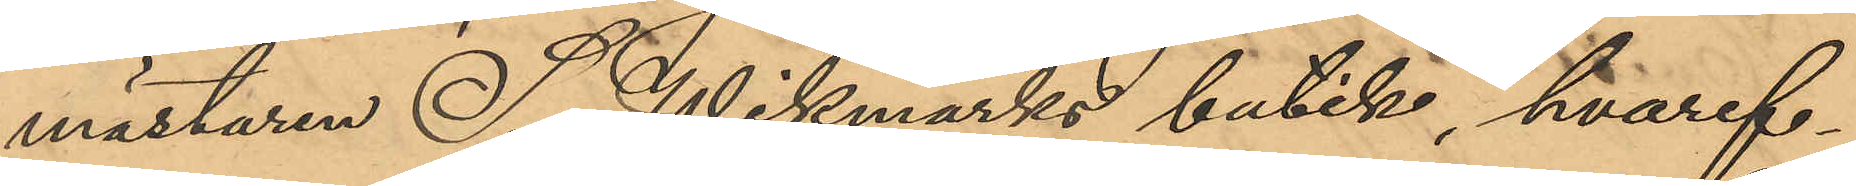mästaren S. Wikmarks butik, hvaref¬
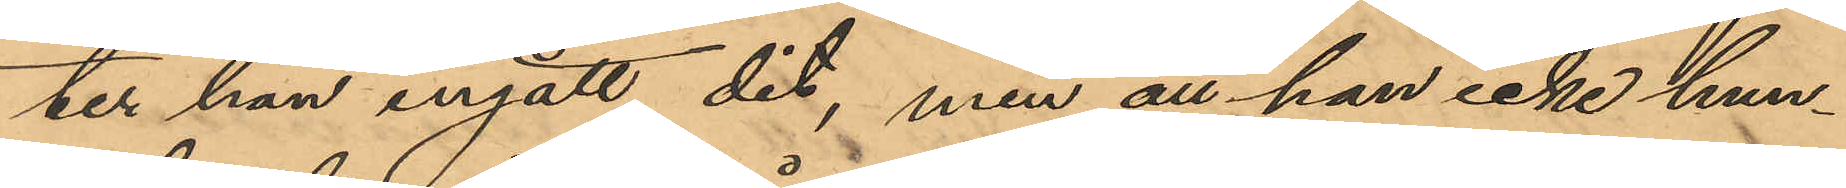ter han ingått dit, men att han icke hun¬
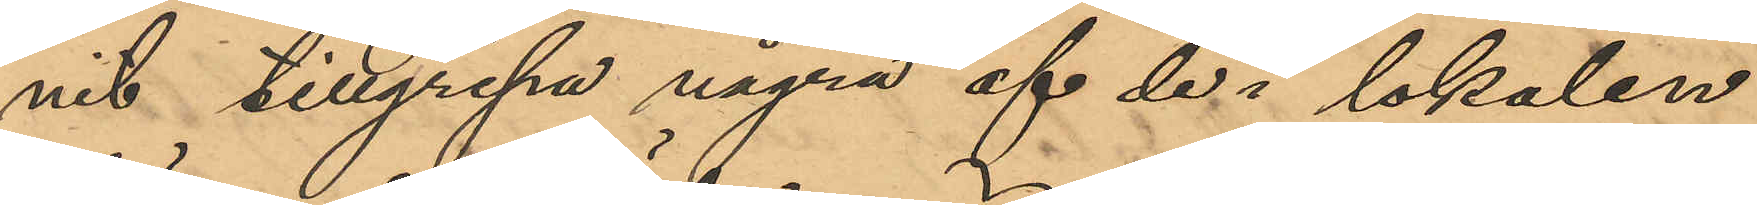nit tillgripa några af de i lokalen
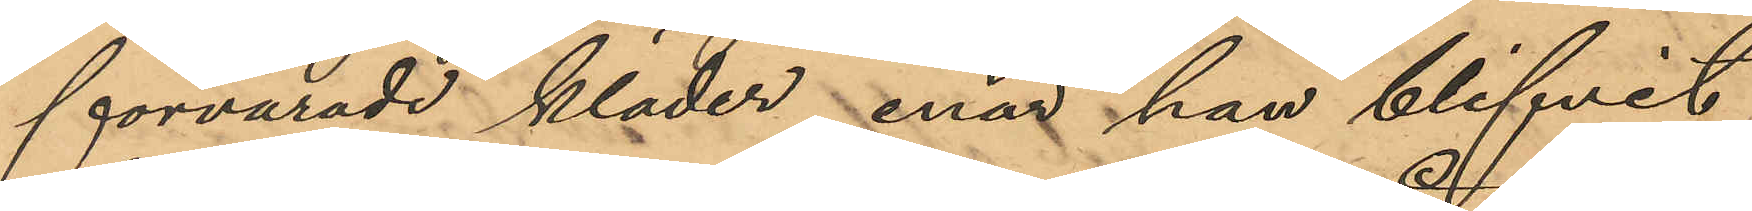förvarade kläder, enär han blifvit
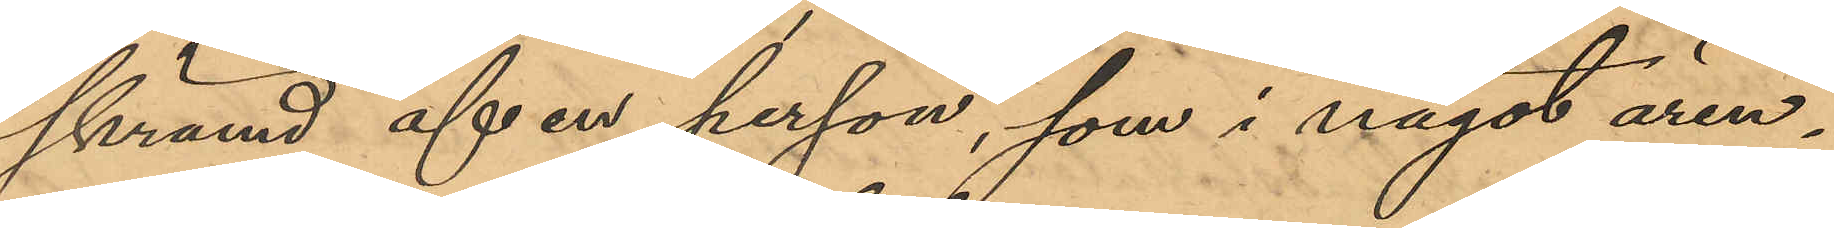skrämd af en person, som i något ären¬
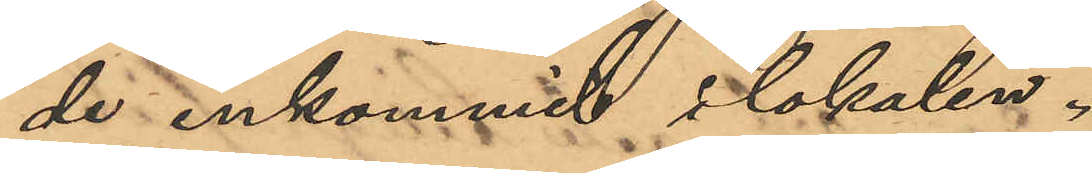de inkommit i lokalen.
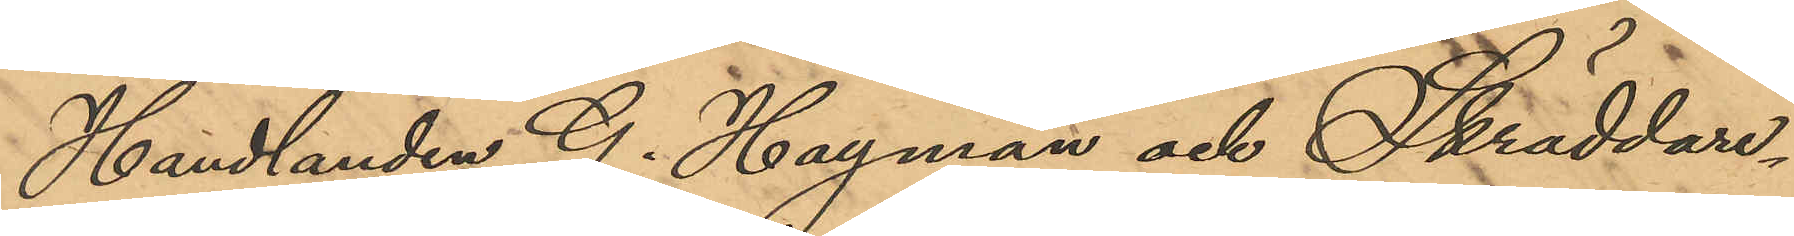Handlanden G. Hagman och Skräddare¬
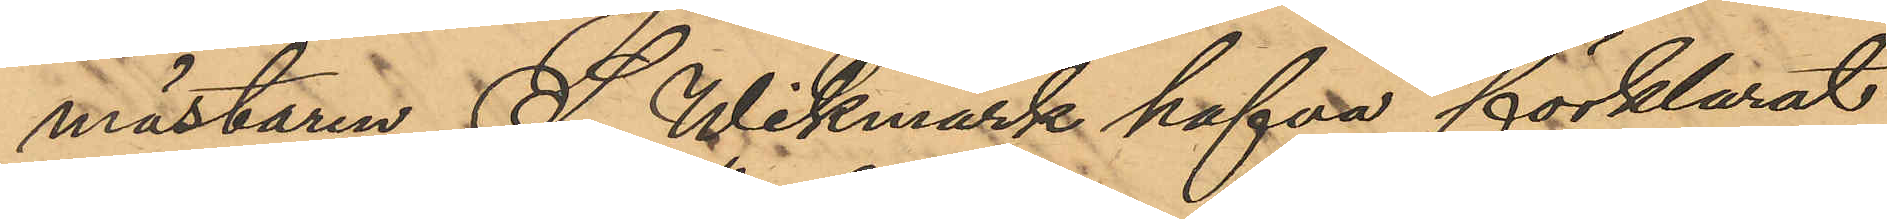mästaren S. Wikmark hafva förklarat
